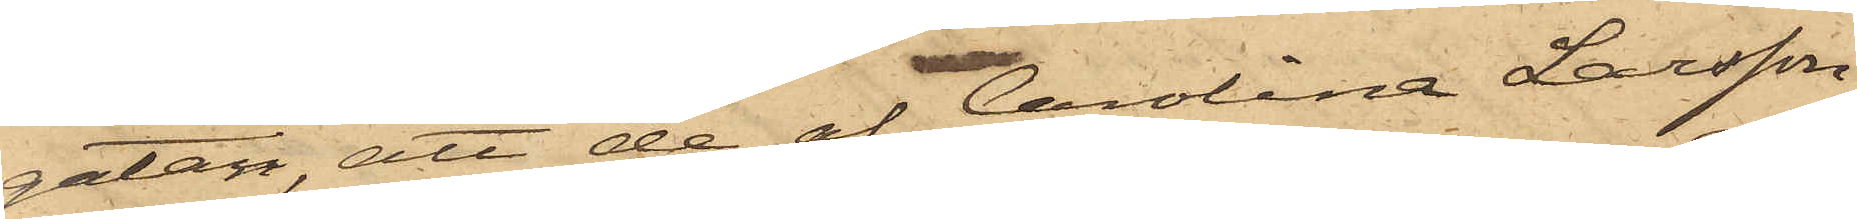gatan, att de af Carolina Larsson
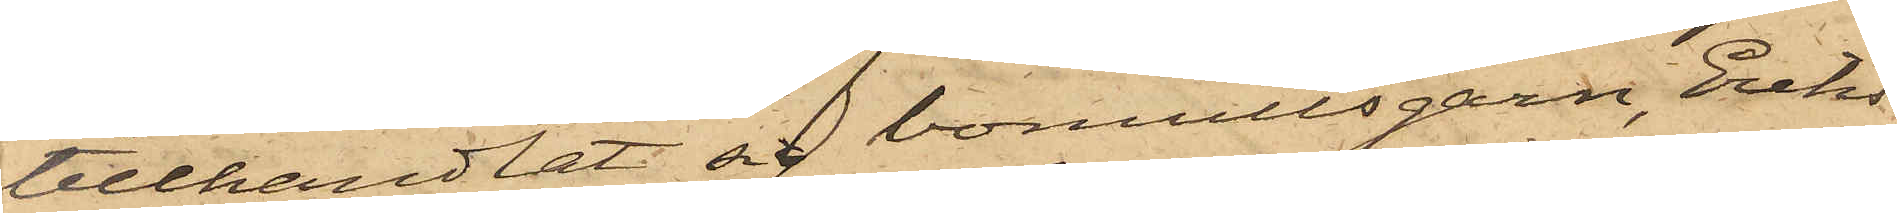tillhandlat sig bomullsgarn, Eriks¬
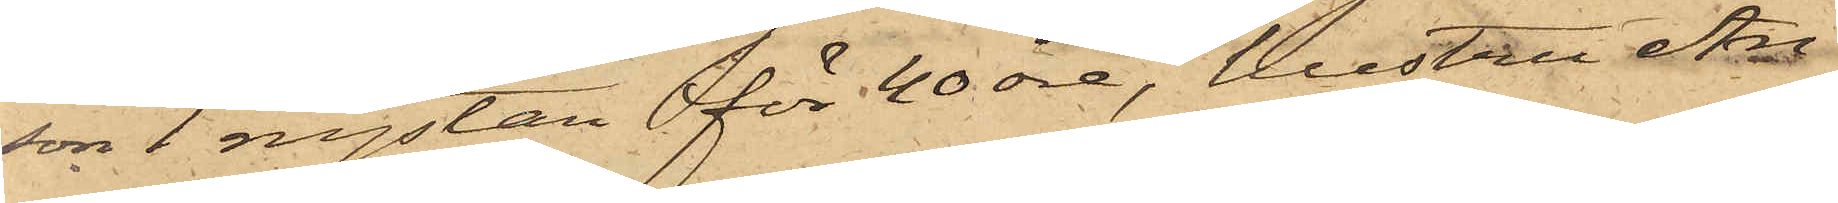son 1 nystan för 40 öre, hustru An¬
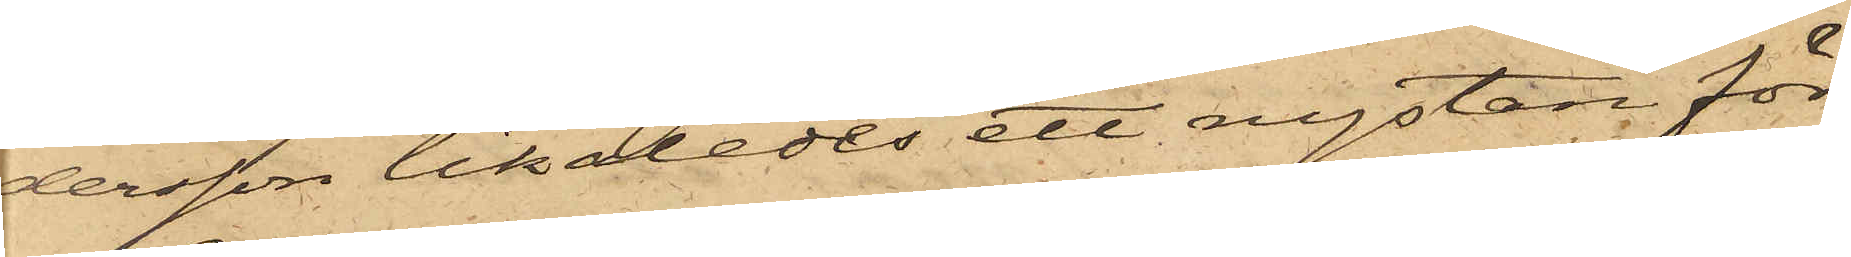dersson likaledes ett nystan för
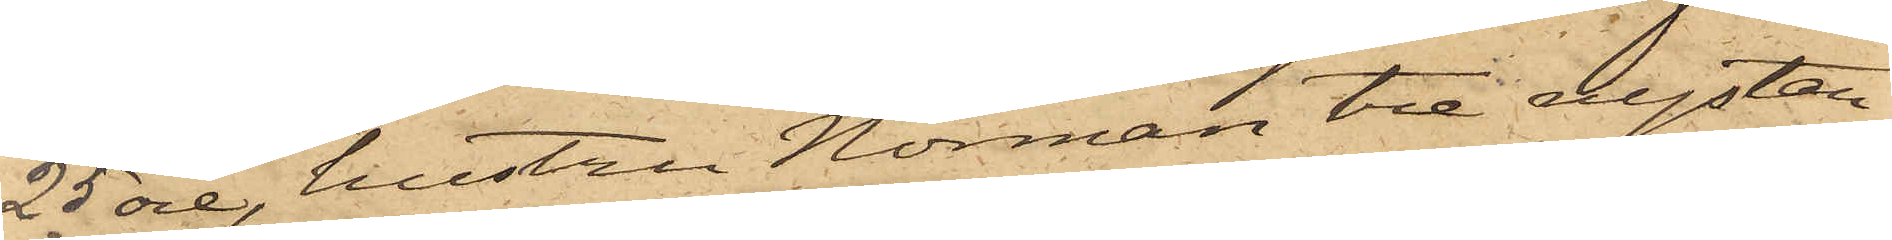25 öre, hustru Norman tre nystan
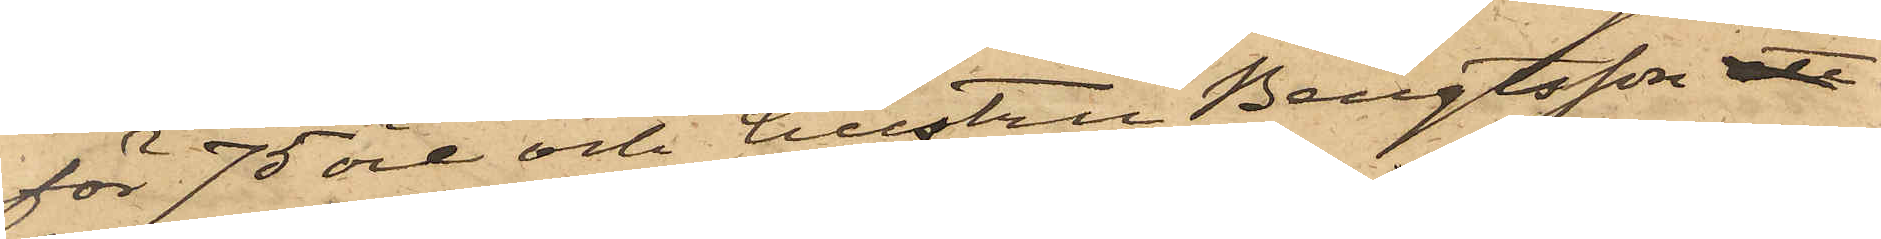för 75 öre och hustru Bengtsson ett
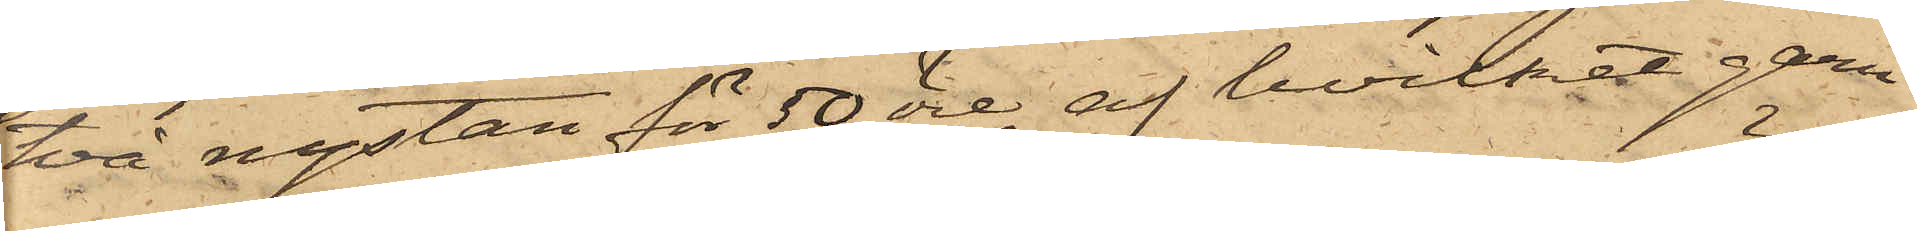två nystan för 50 öre, af hvilket garn
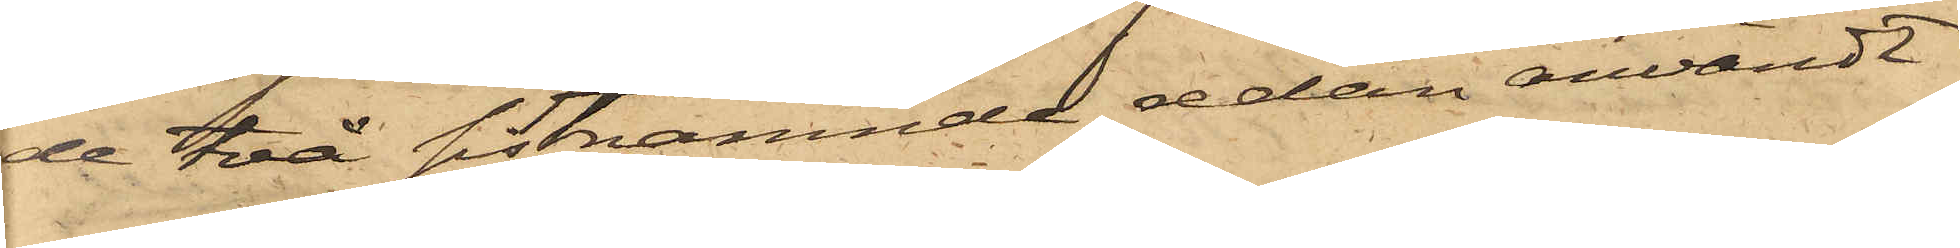de två sistnämnde sedan användt
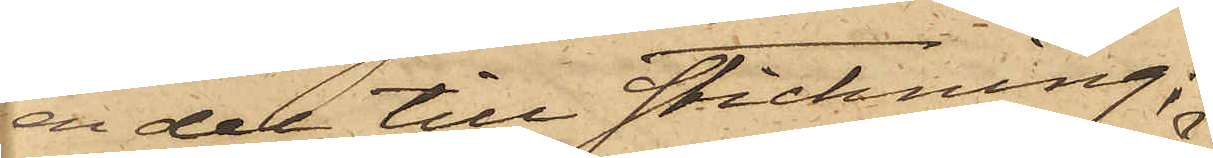en del till stickning;
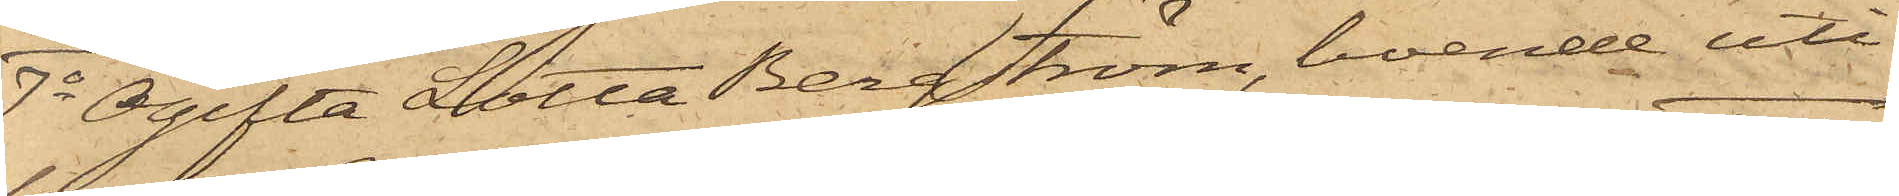7o Ogifta Lotta Bergström, boende uti
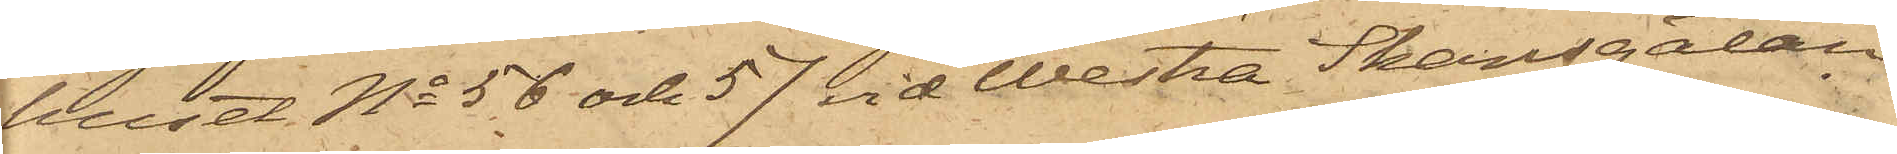huset No 56 och 57 vid Westra Skansgatan
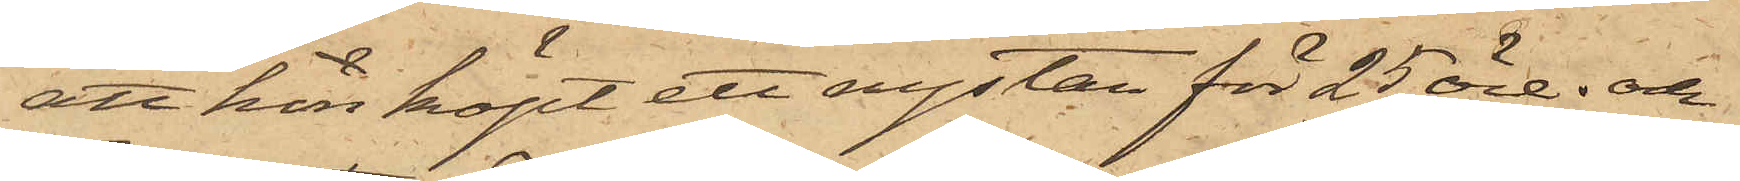att hon köpt ett nystan för 25 öre; och
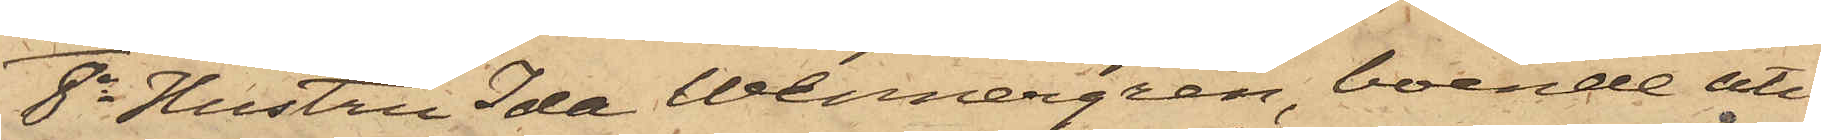8o Hustru Ida Wennergren, boende uti
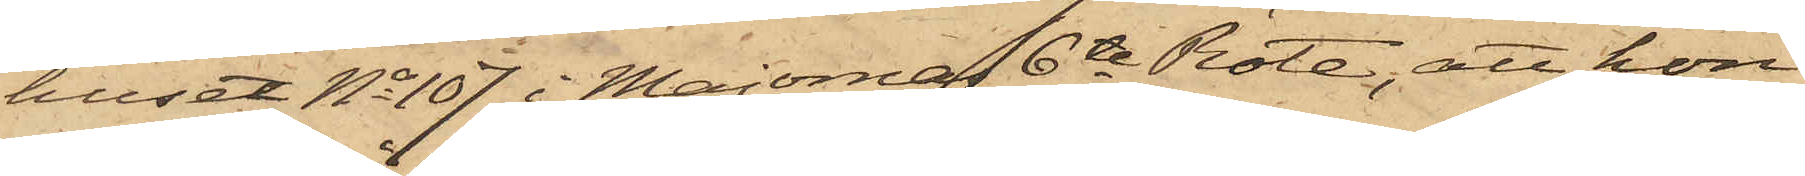huset No 107 i Majornas 6te Rote, att hon
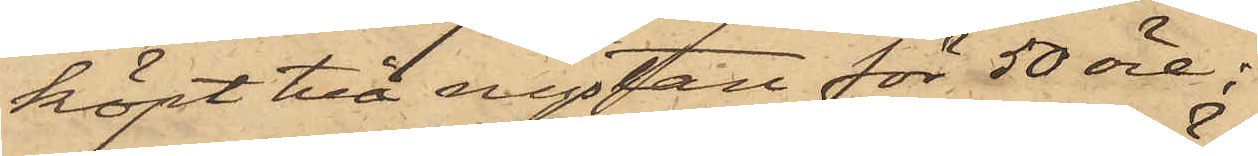köpt två nystan för 50 öre;
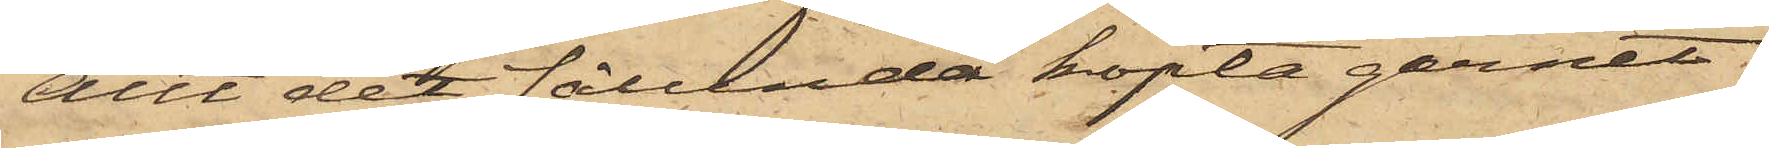Allt det sålunda köpta garnet
